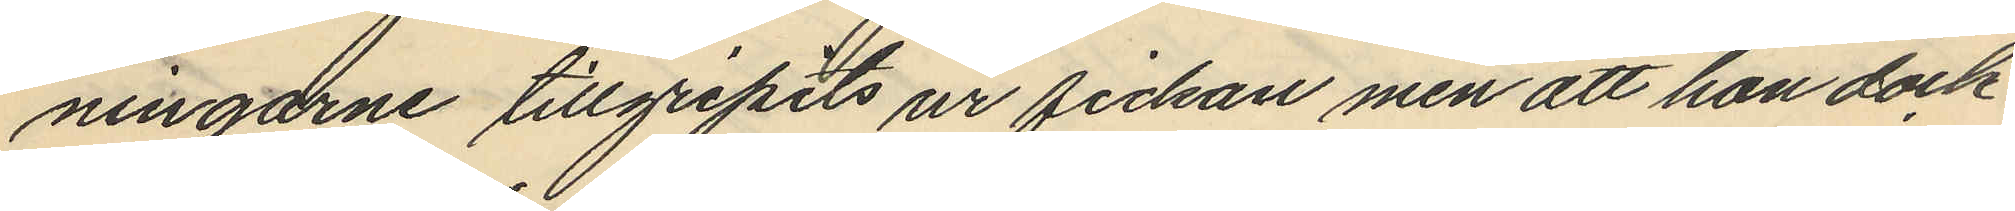ningarne tillgripits ur fickan, men att hon dock
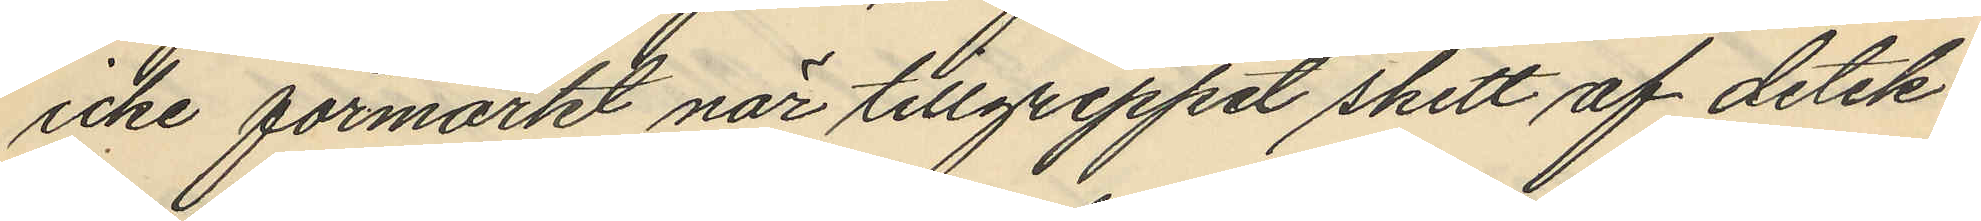icke förmärkt när tillgreppet skett af detek¬
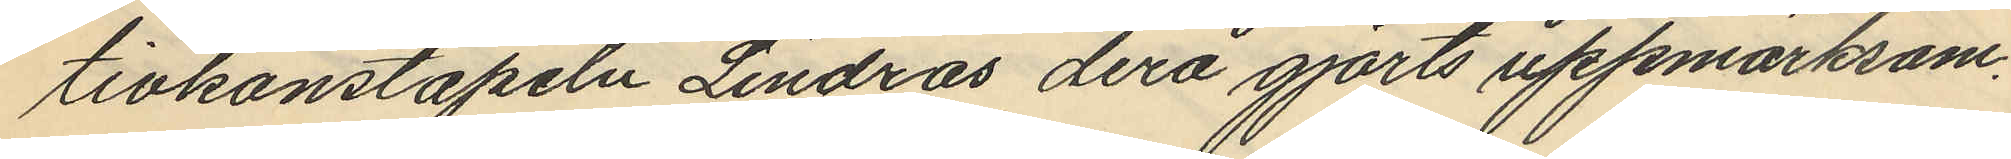tivkonstapeln Lindros derå gjorts uppmärksam.
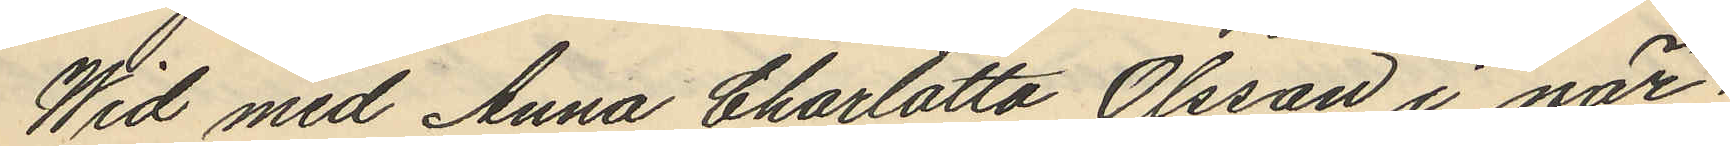Wid med Anna Charlotta Olsson i när¬
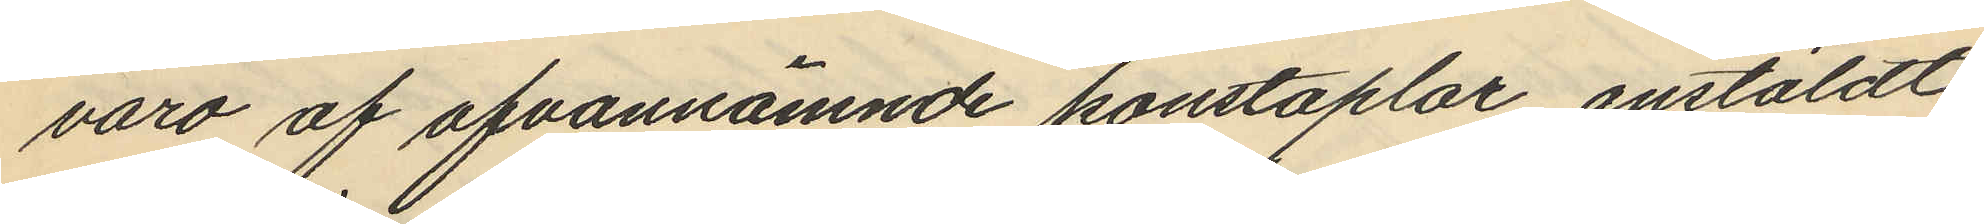varo af ofvannämnde konstaplar anstäldt
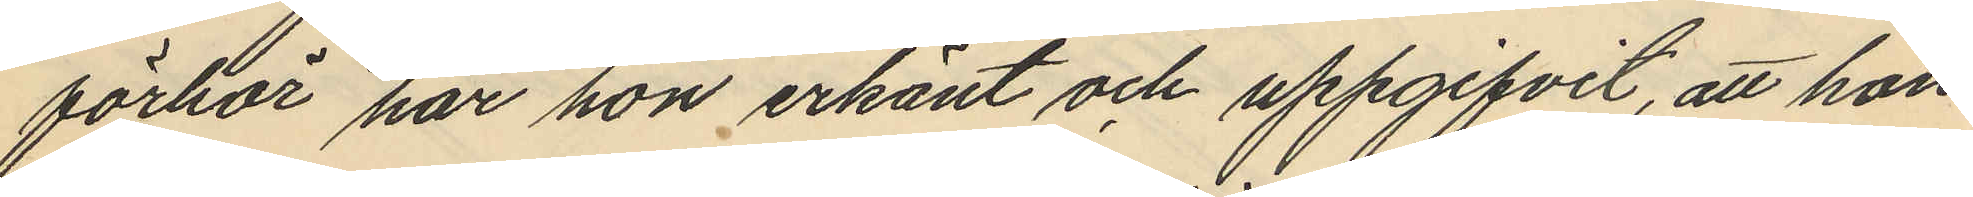förhör har hon erkänt och uppgifvit, att hon
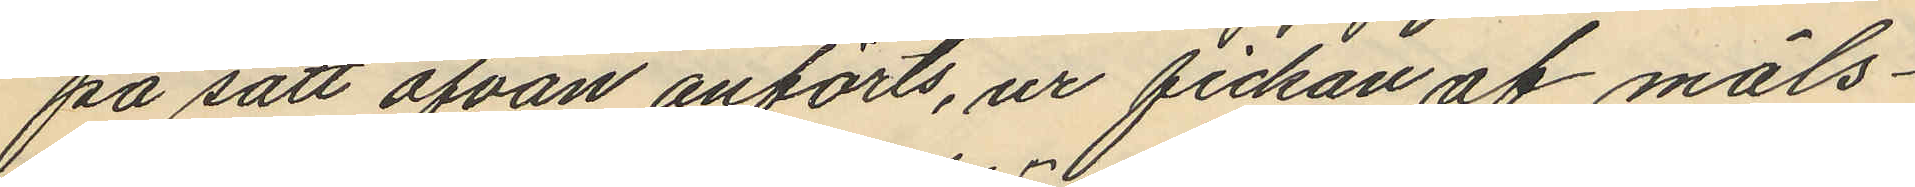på sätt ofvan anförts, ur fickan af måls¬
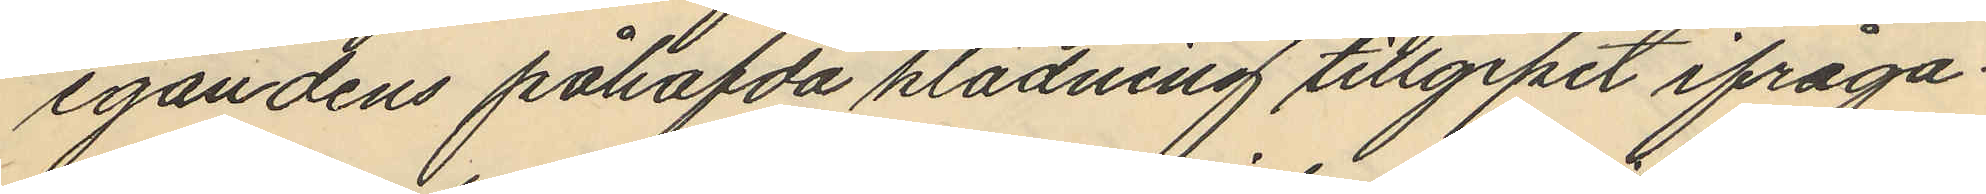egandens påhafda klädning tillgipit ifråga¬
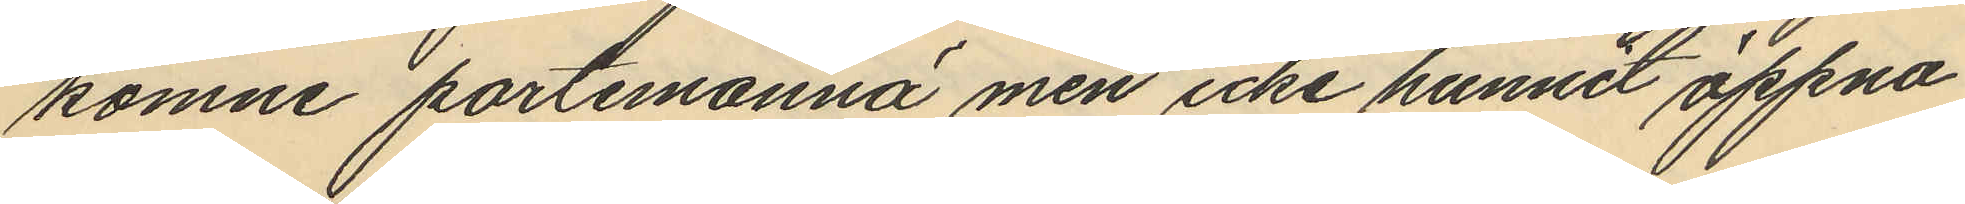komne portemonnä men icke hunnit öppna
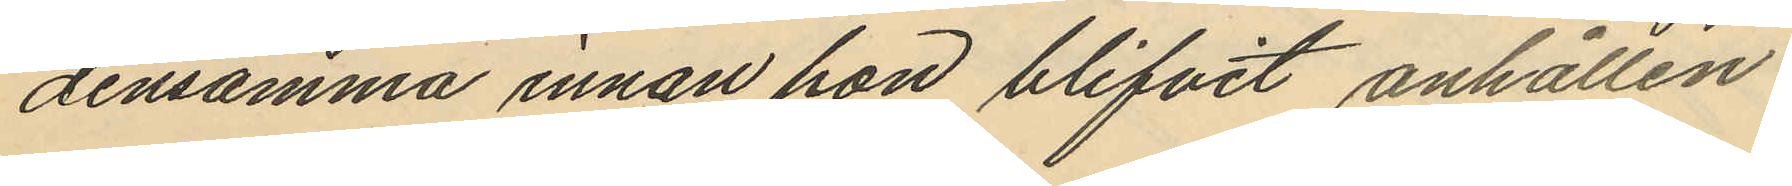densamma innan hon blifvit anhållen.
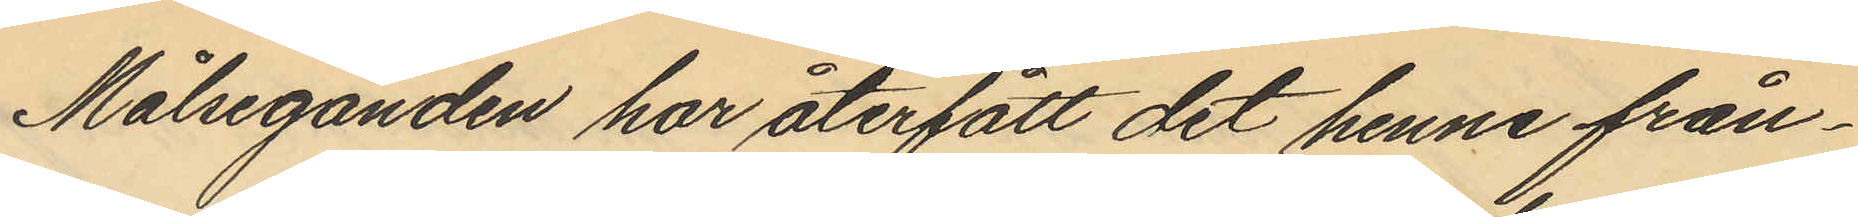Målseganden har återfått det henne från¬
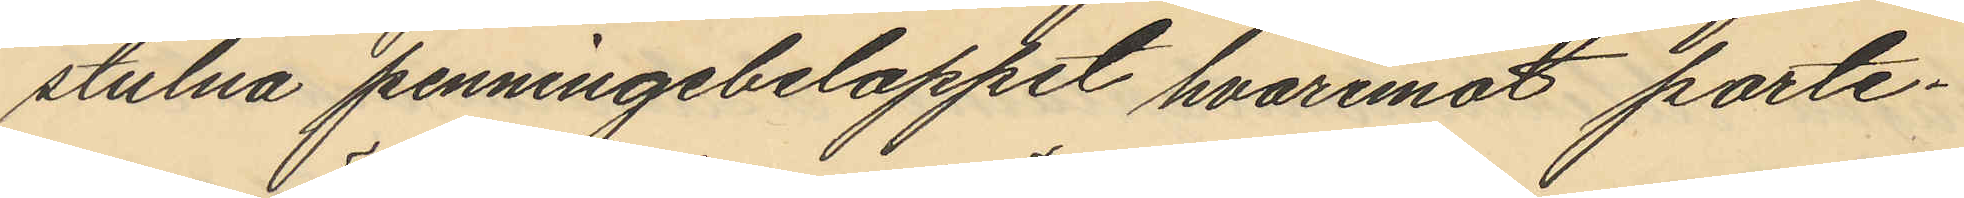stulna penningbeloppet, hvaremot porte¬
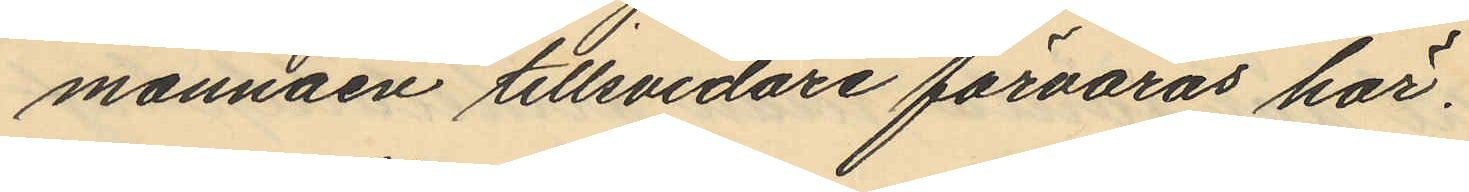monnäen tillsvidare förvaras här.
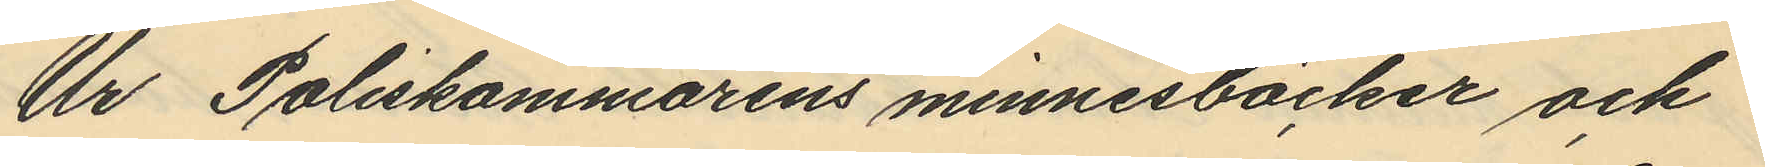Ur Poliskammarens minnesböcker och
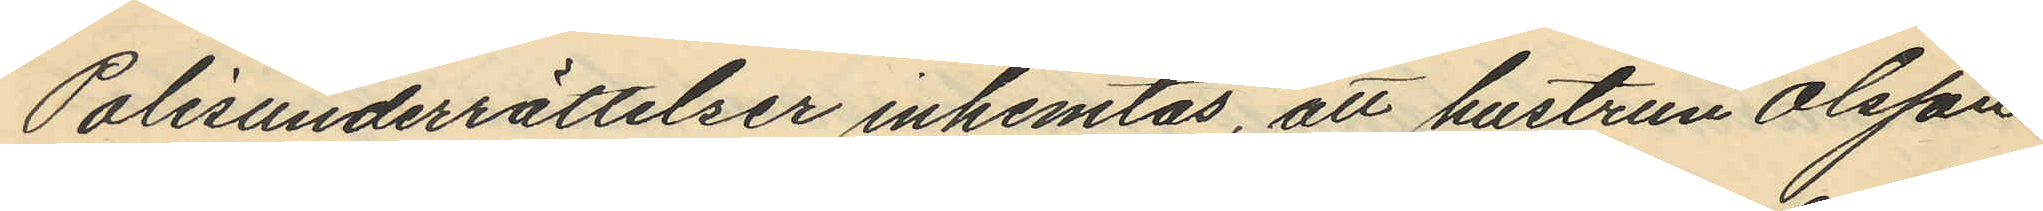Polisunderrättelser inhemtas, att hustrun Olsson
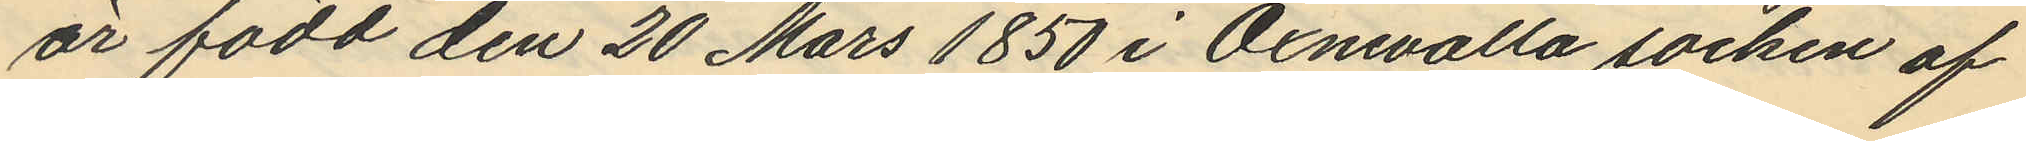är född den 20 Mars 1850 i Öxnevalla socken af
